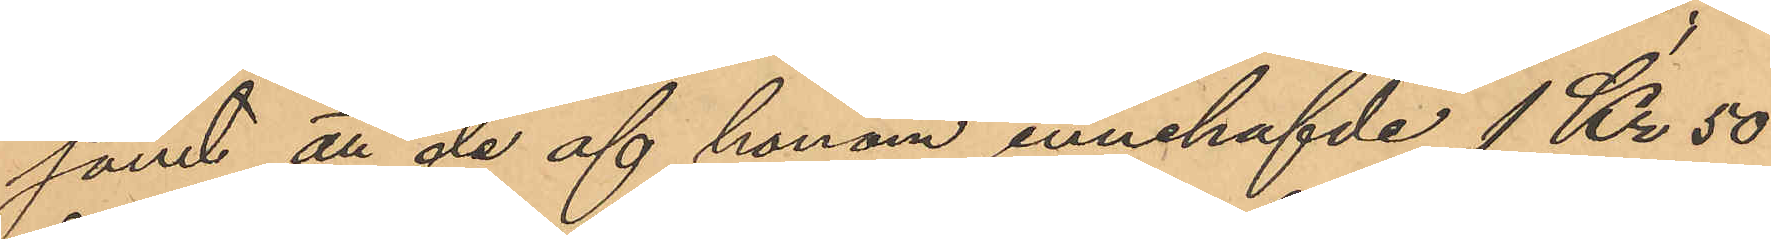samt att de af honom innehafvde 1 Kr. 50
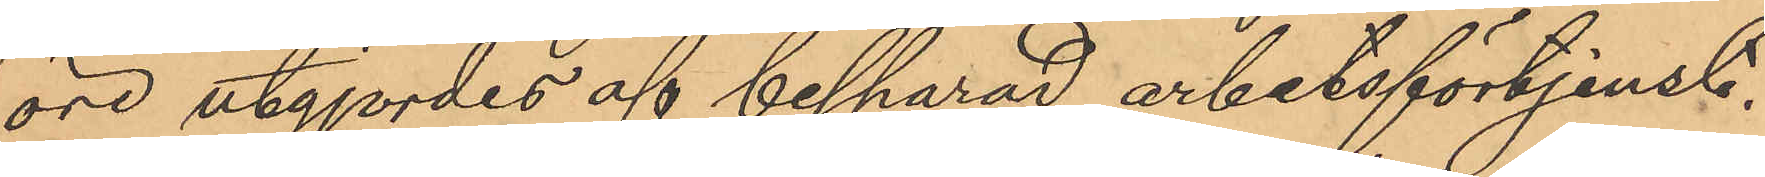öre utgjordes af besparad arbetsförtjenst.
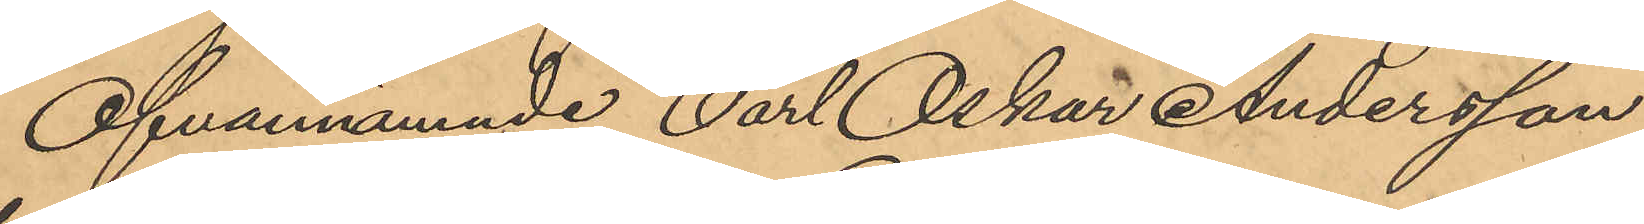Ofvannämnde Carl Oskar Andersson,
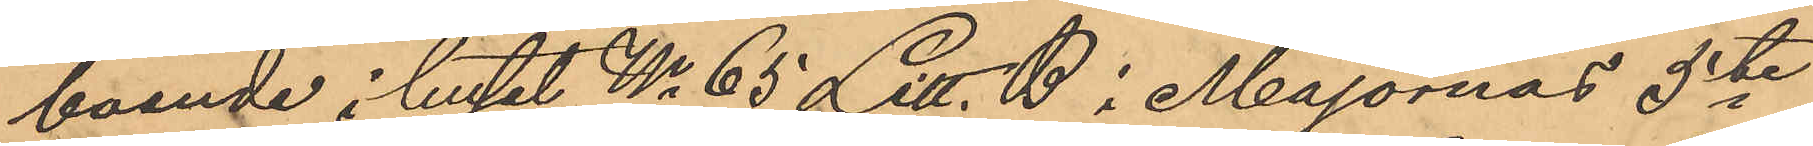boende i huset No 65 Litt. B i Majornas 5te
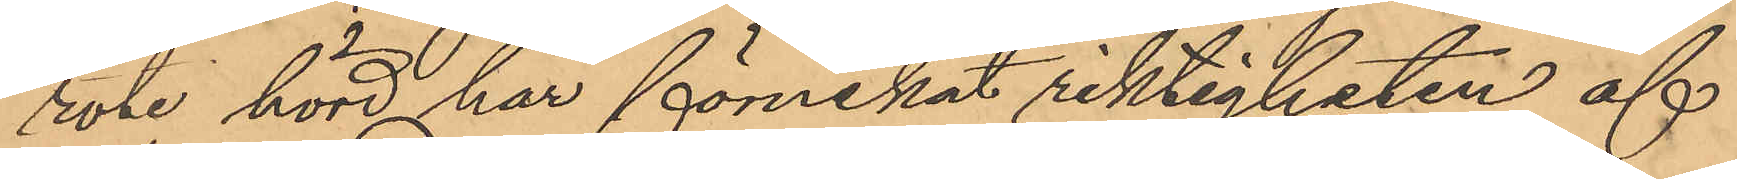rote hörd har förnekat riktigheten af
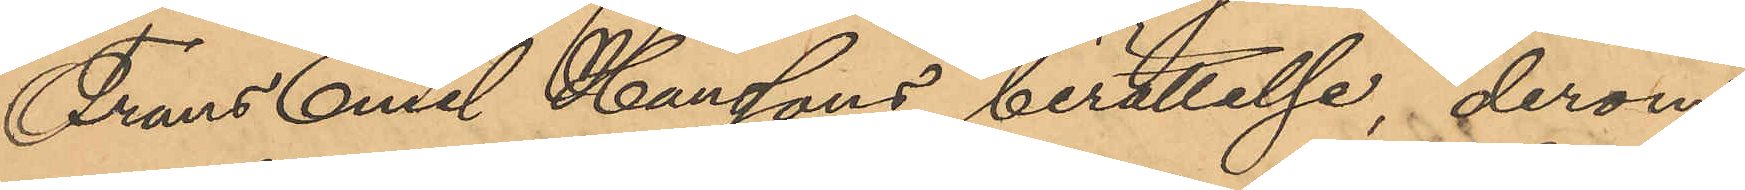Frans Emil Hanssons berättelse, derom
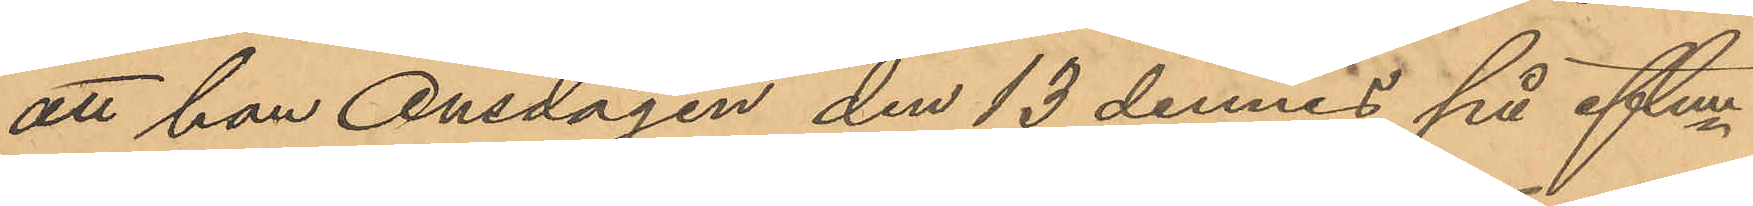att han Onsdagen den 13 dennes på eftm
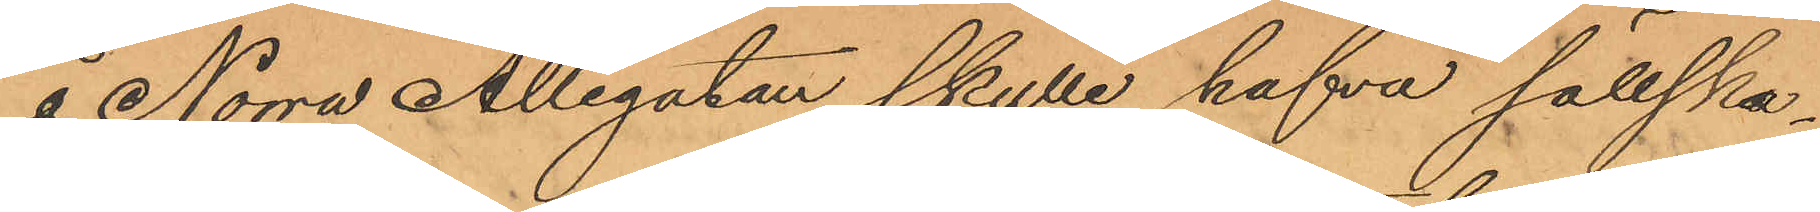å Norra Allégatan skulle hafva sällska¬
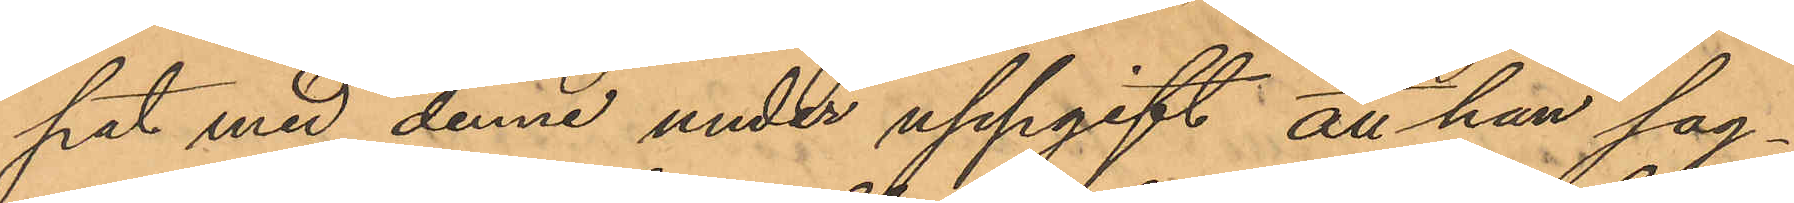pat med denne under uppgift att han sag¬
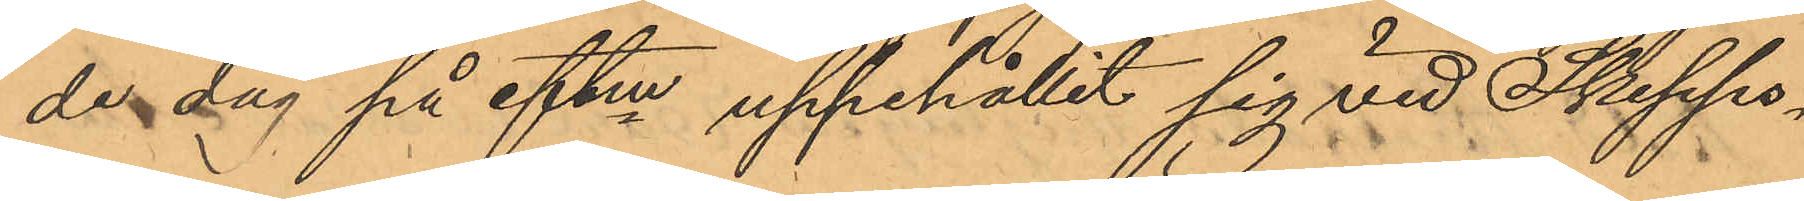de dag på eftm uppehållit sig vid Skepps¬
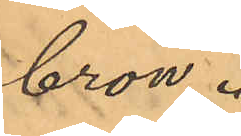bron.
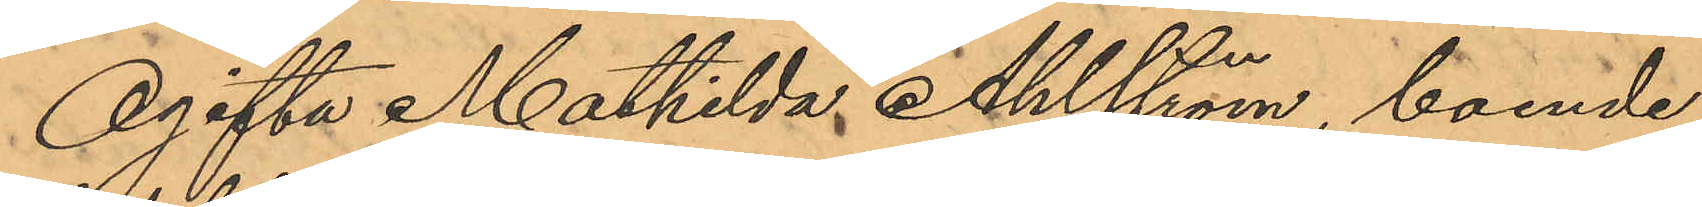Ogifta Mathilda Ahlström, boende
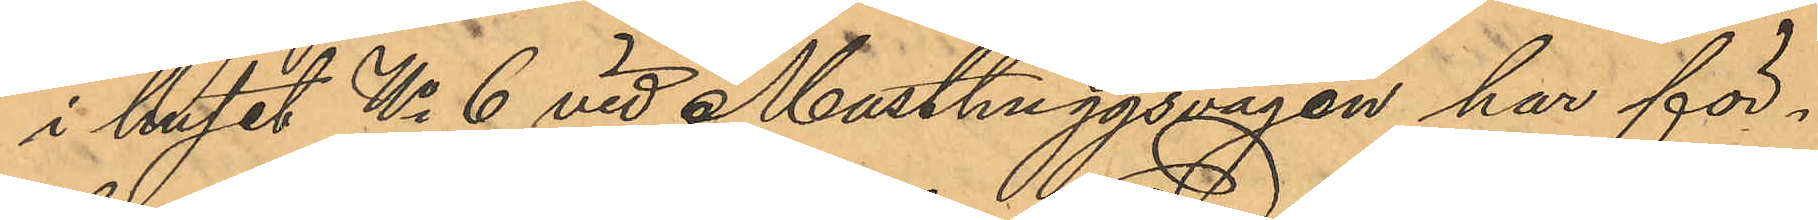i huset No 6 vid Masthuggsvägen har för¬
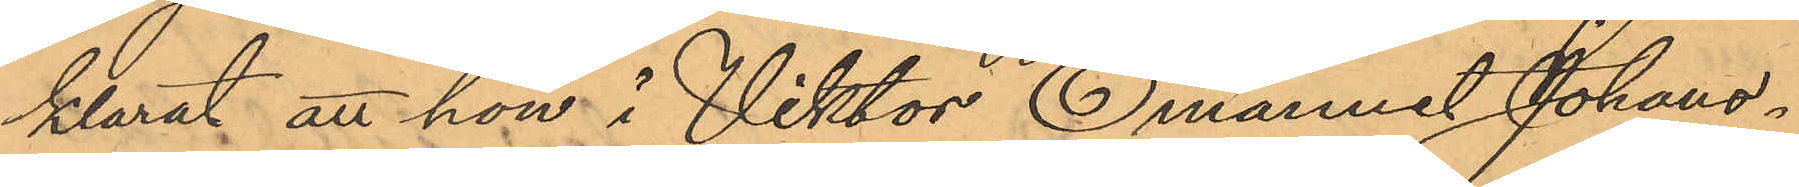klarat att hon i Viktor Emanuel Johans¬
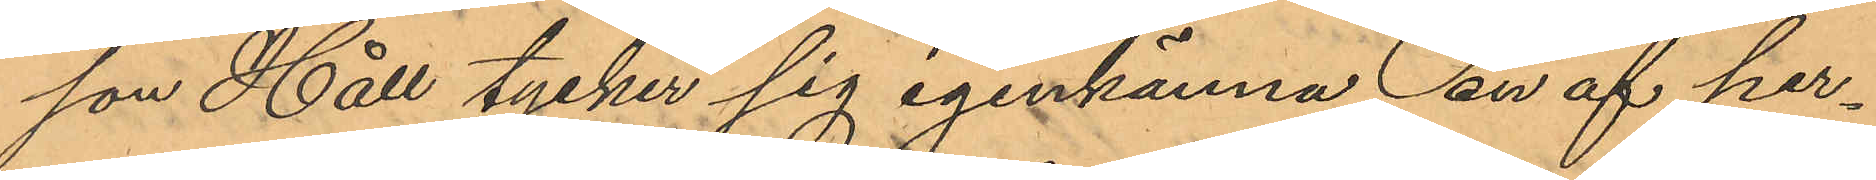son Håll tycker sig igenkänna en af per¬
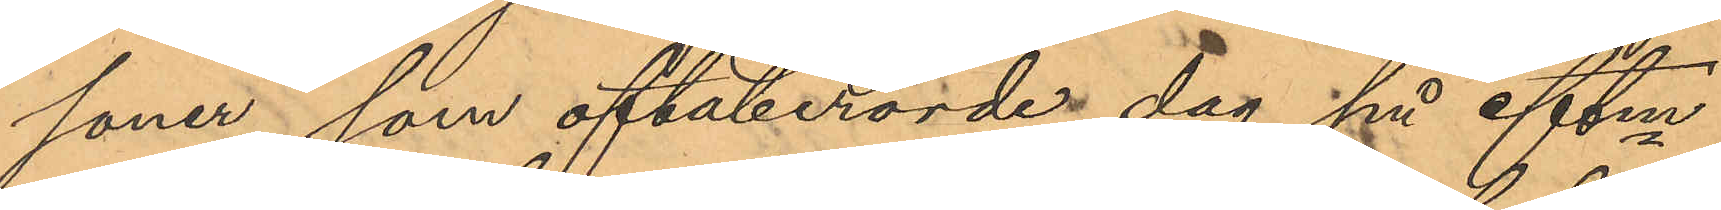soner, som oftaberörde dag på eftm
